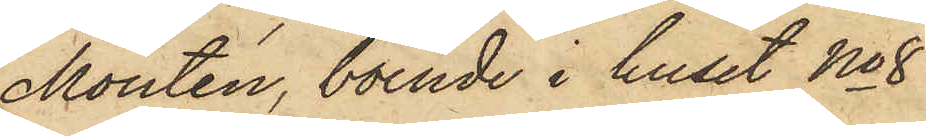Montén, boende i huset No 8
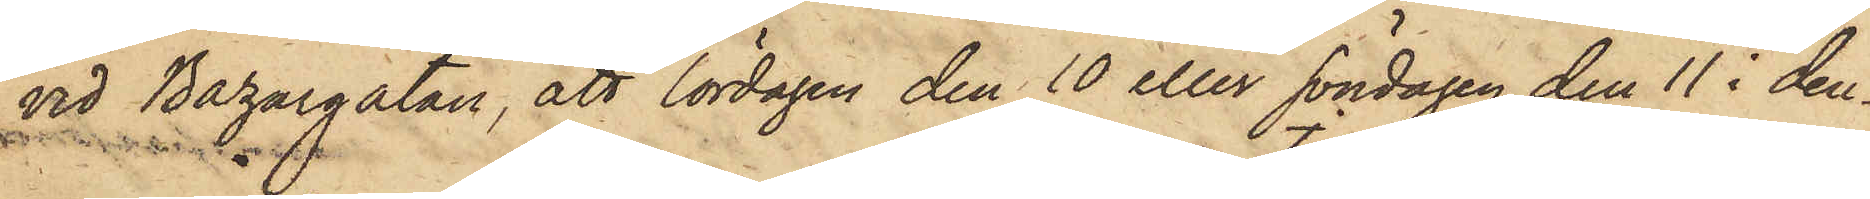vid Bazargatan, att lördagen den 10 eller söndagen den 11 i den¬
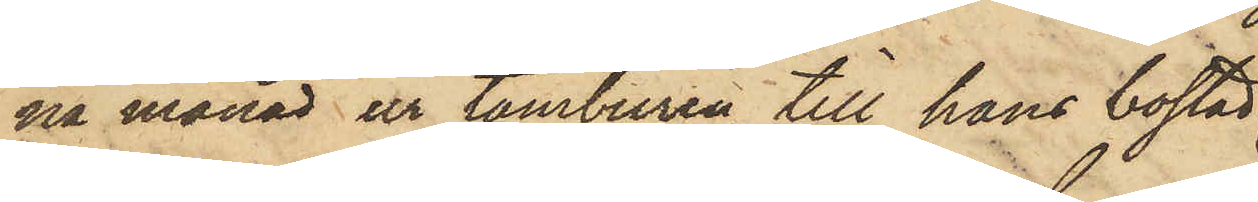na månad ur tamburen till hans bostad
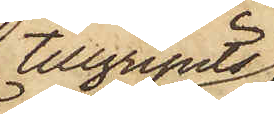tillgripits
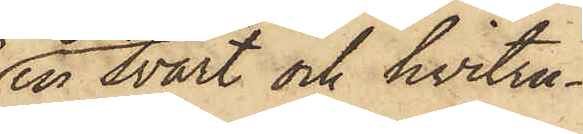en svart och hvitru¬
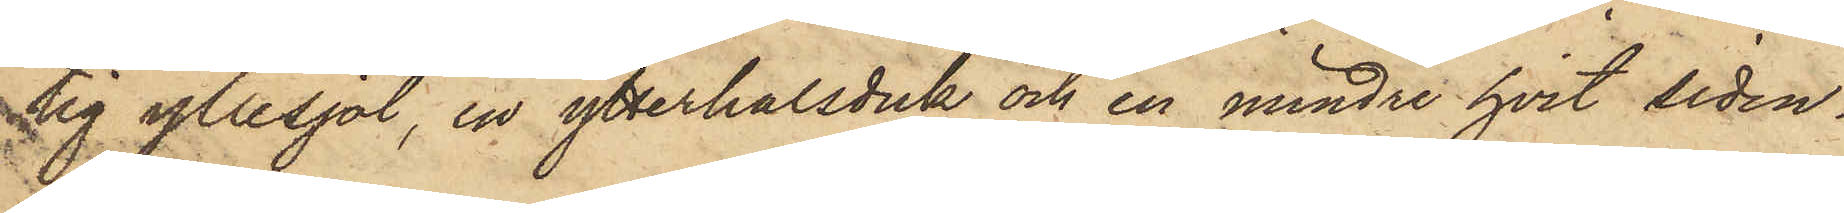tig yllesjal, en ytterhalsduk och en mindre hvit siden¬
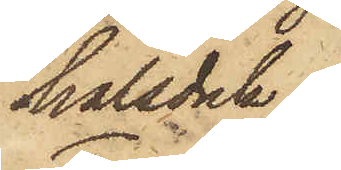halsduk.
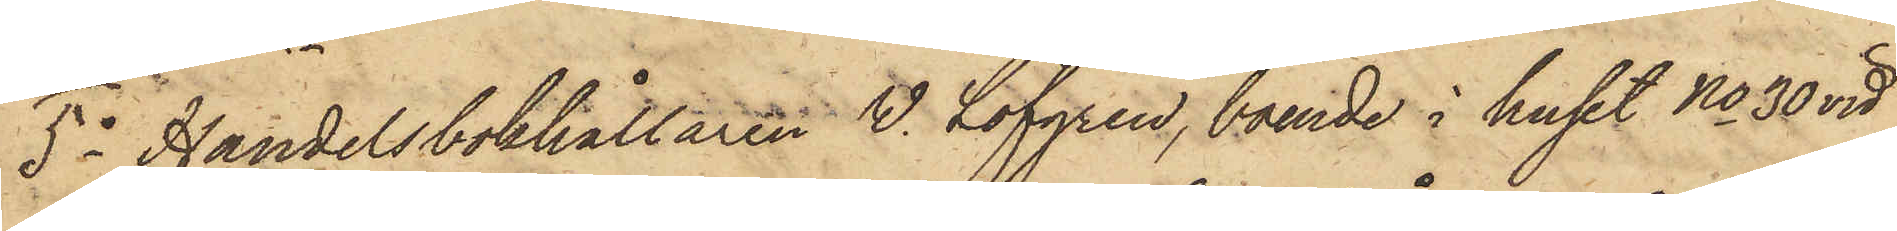5o Handelsbokhållaren V. Löfgren, boende i huset No 30 vid
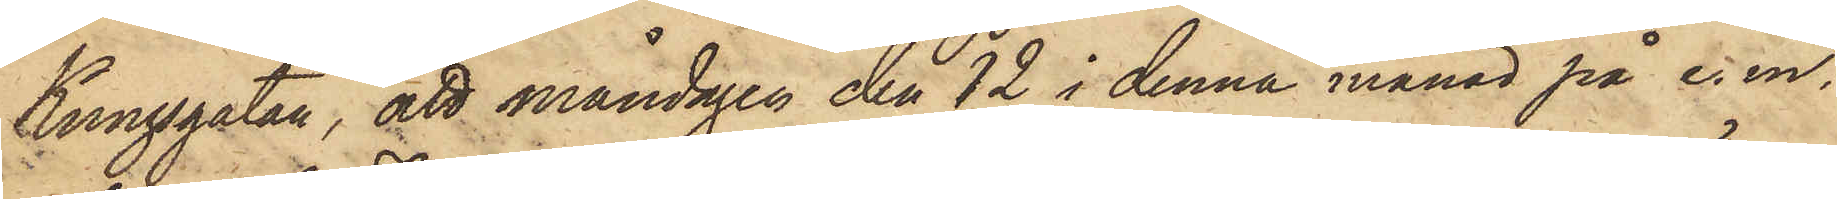Kungsgatan, att måndagen den 12 i denna månad på e. m.
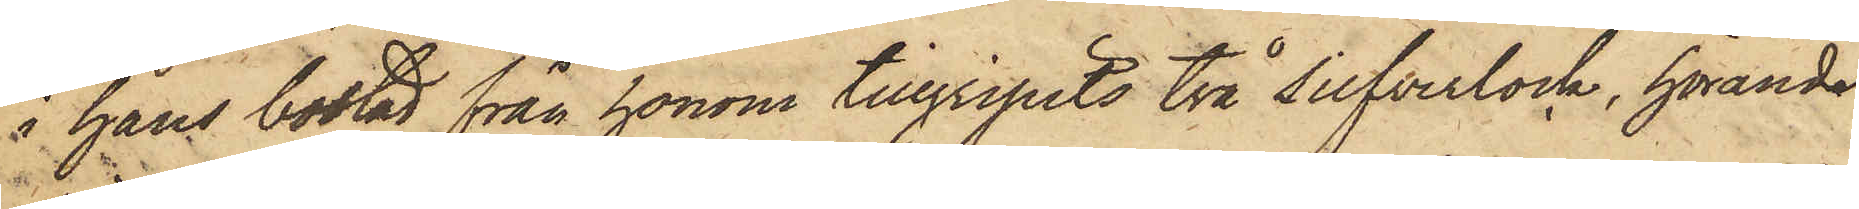i hans bostad från honom tillgripits två silfverlock, höande
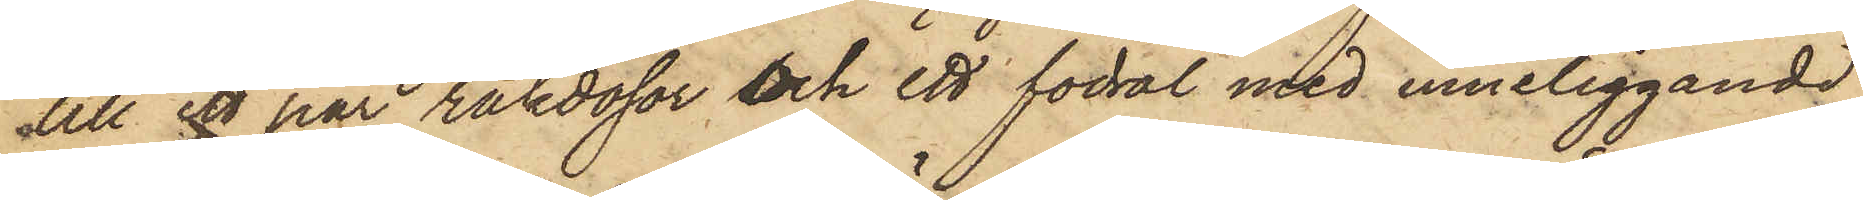till ett par rakdosor och ett fodral med inneliggande
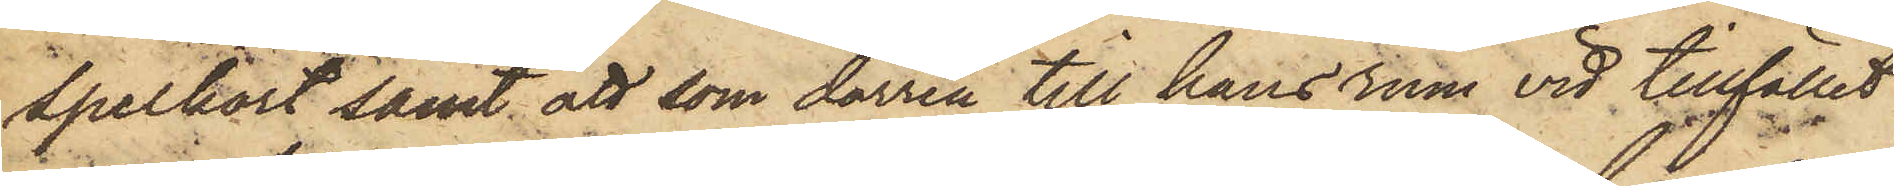spelkort samt att som dörren till hans rum vid tillfället
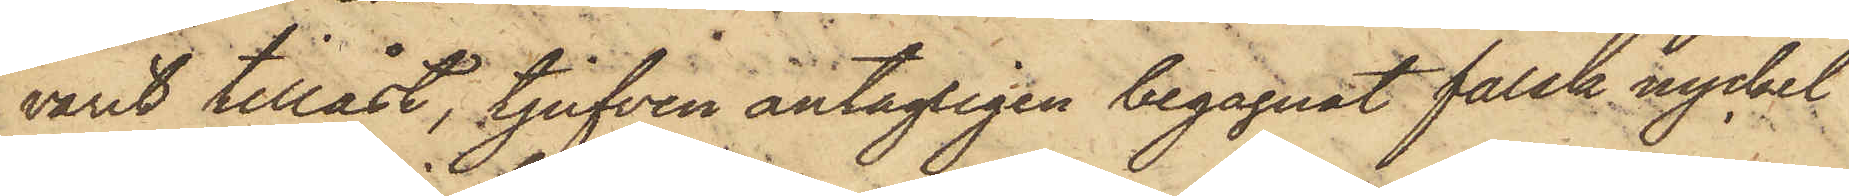varit tillåst, tjufven antagligen begagnat falsk nyckel
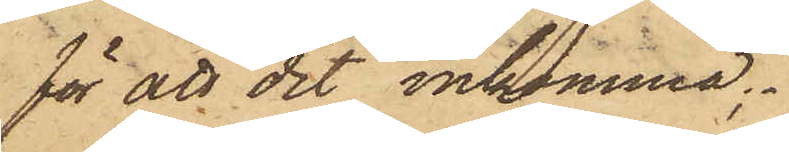för att dit inkomma;
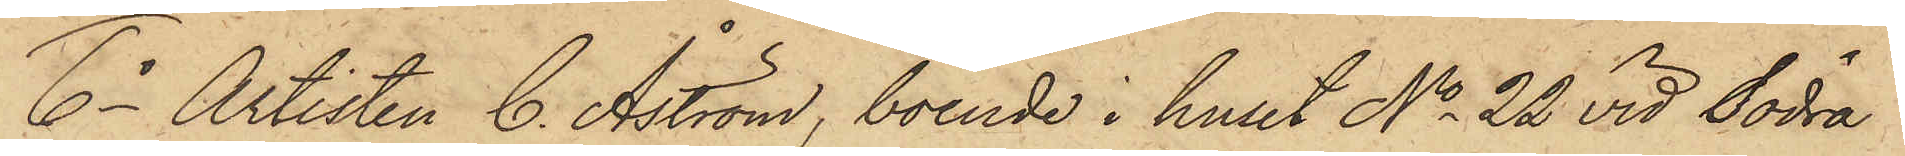6o Artisten C. Åström, boende i huset No 22 vid Södra
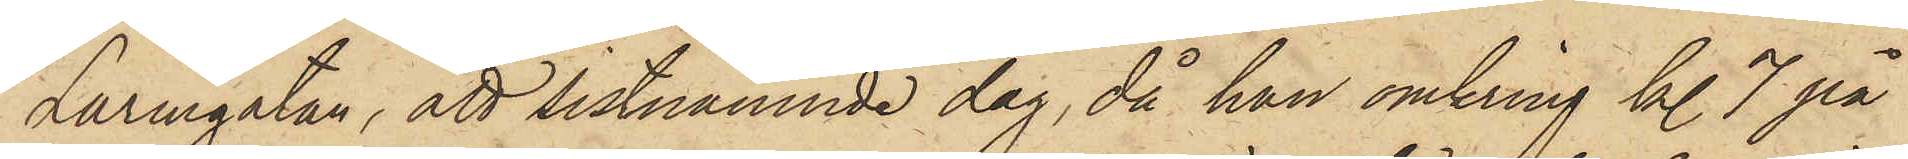Larmgatan, att sistnämnde dag, då han omkring kl. 7 på
